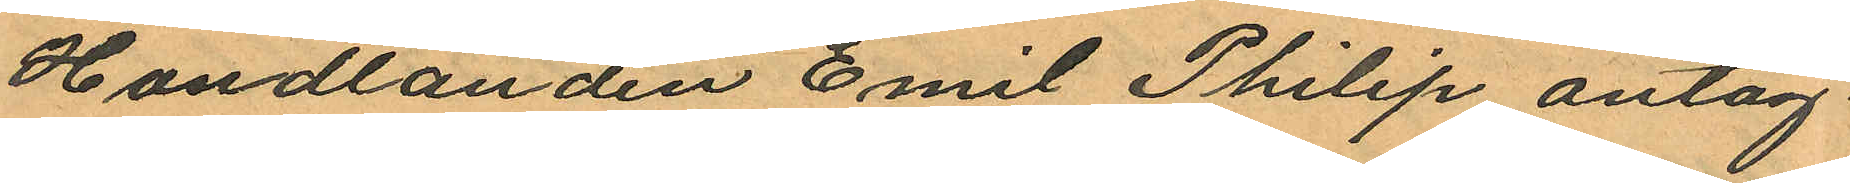Handlanden Emil Philip antag¬
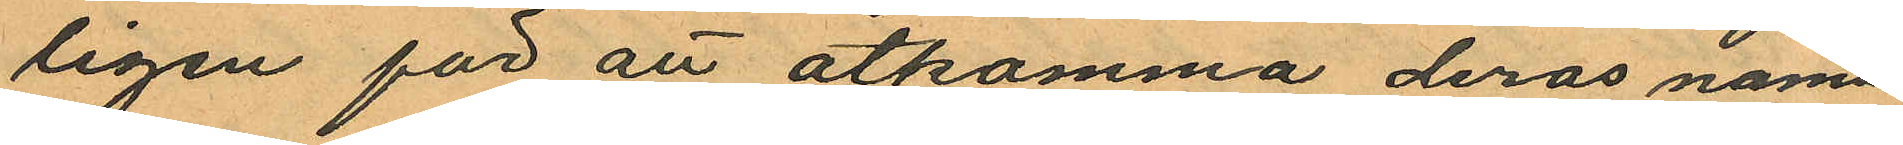ligen för att åtkomma deras namn¬
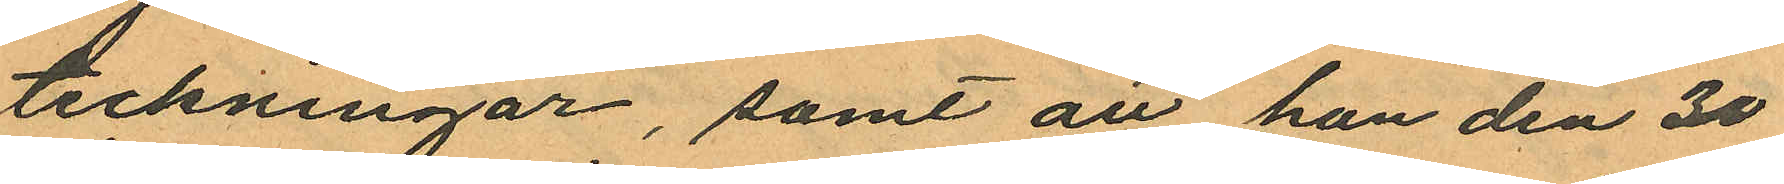teckningar, samt att han den 30
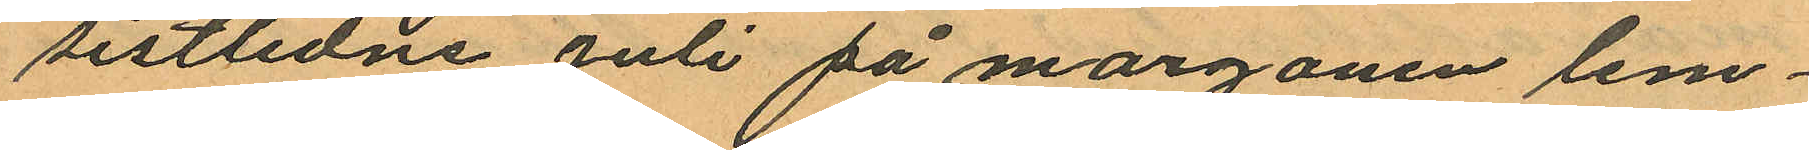sistlidne Juli på morgonen lem¬
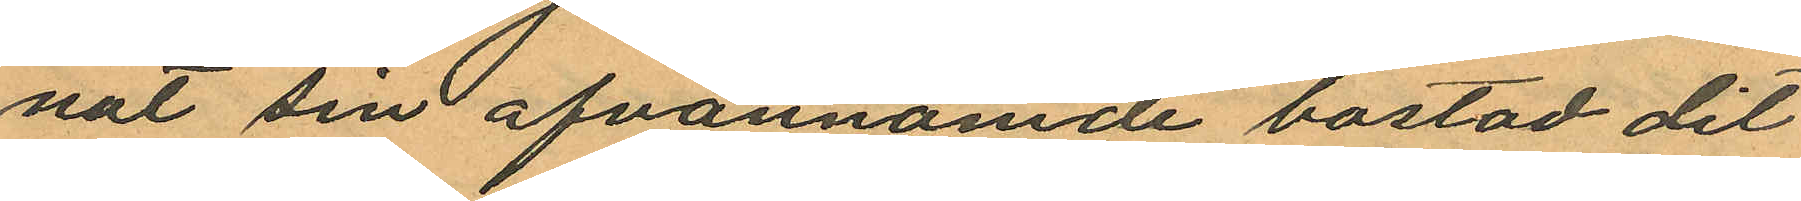nat sin ofvannämde bostad dit
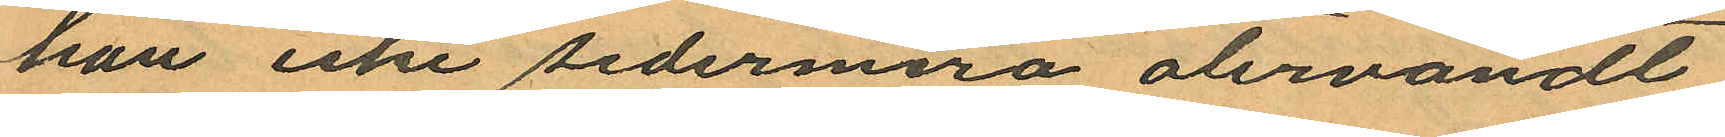han icke sedermera återvändt
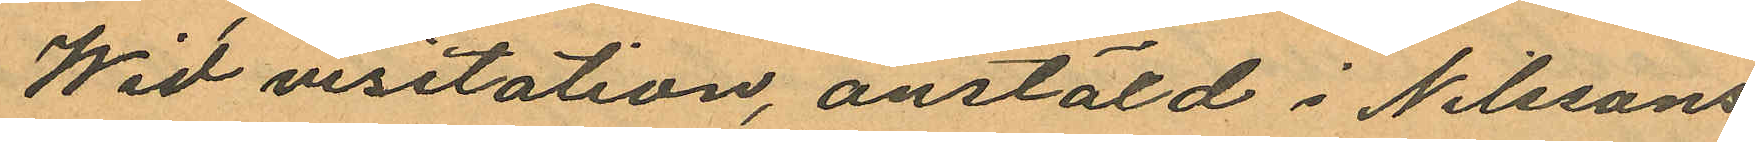Wid visitation, anstäld i Nilssons
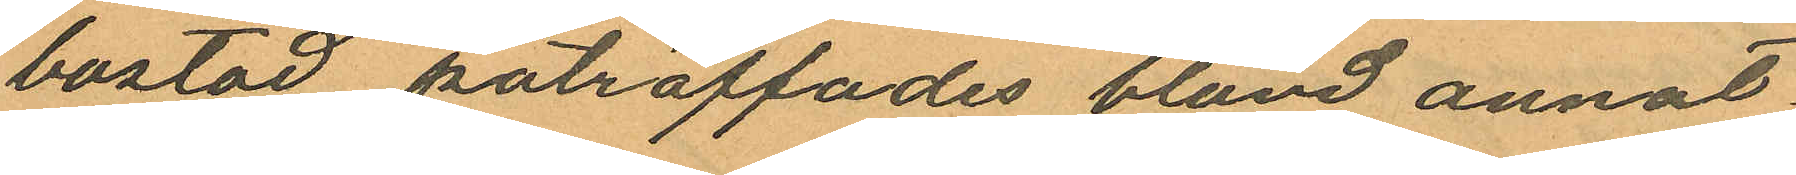bostad påträffades bland annat
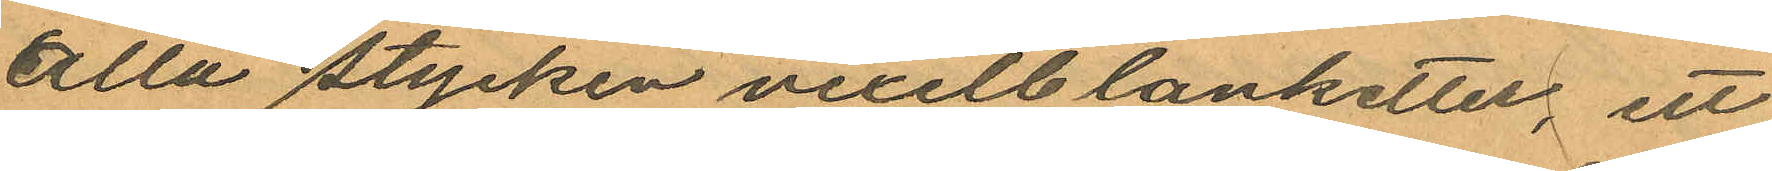åtta stycken vexelblanketter, ett
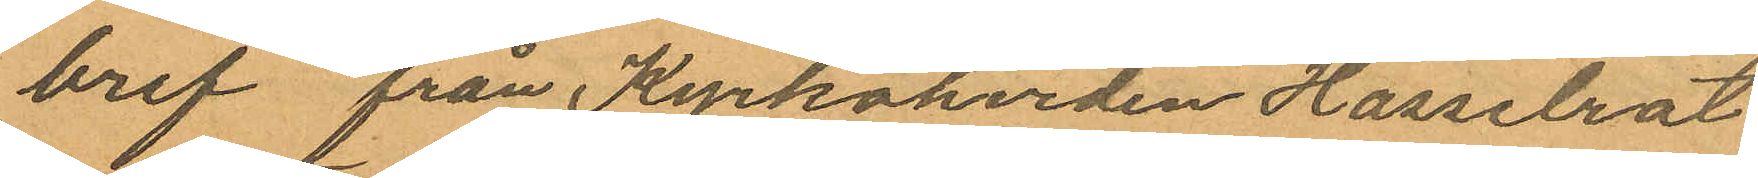bref från Kyrkoherden Hasselrot
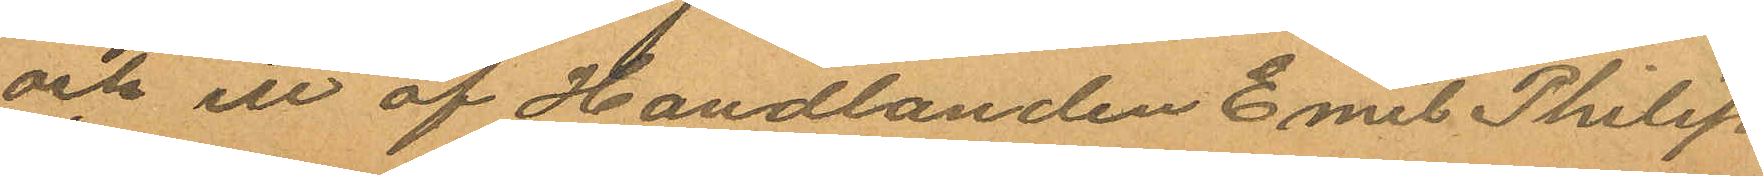och ett af Handlanden Emil Philip
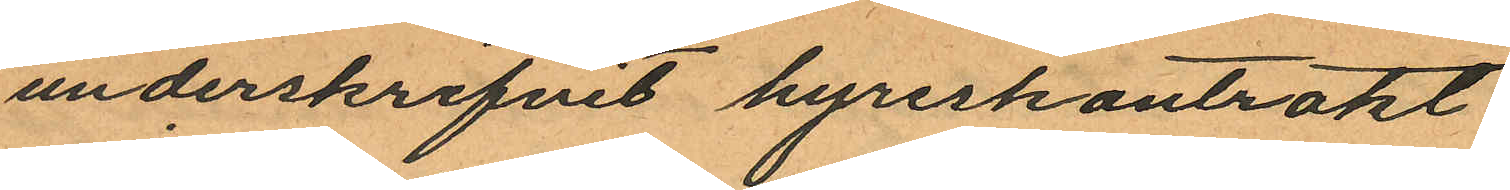underskrifvit hyreskontrakt.
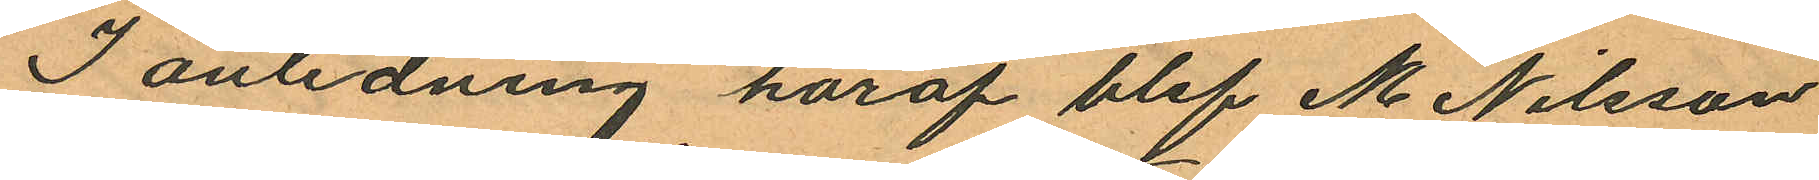I anledning häraf blef M Nilsson
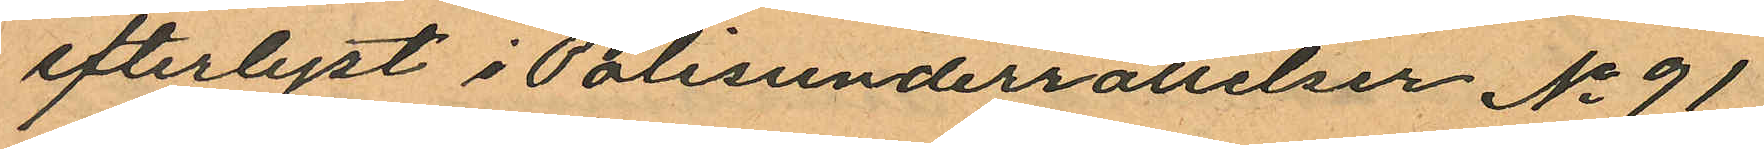efterlyst i Polisunderrättelser No 91
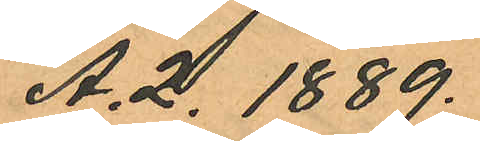A.2. 1889.
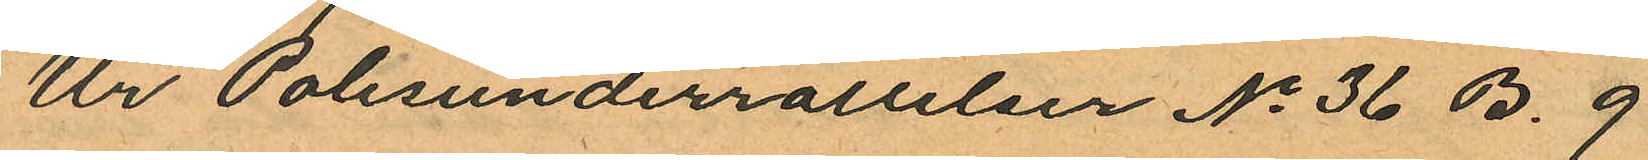Ur Polisunderrallelser No 36 B. 9
